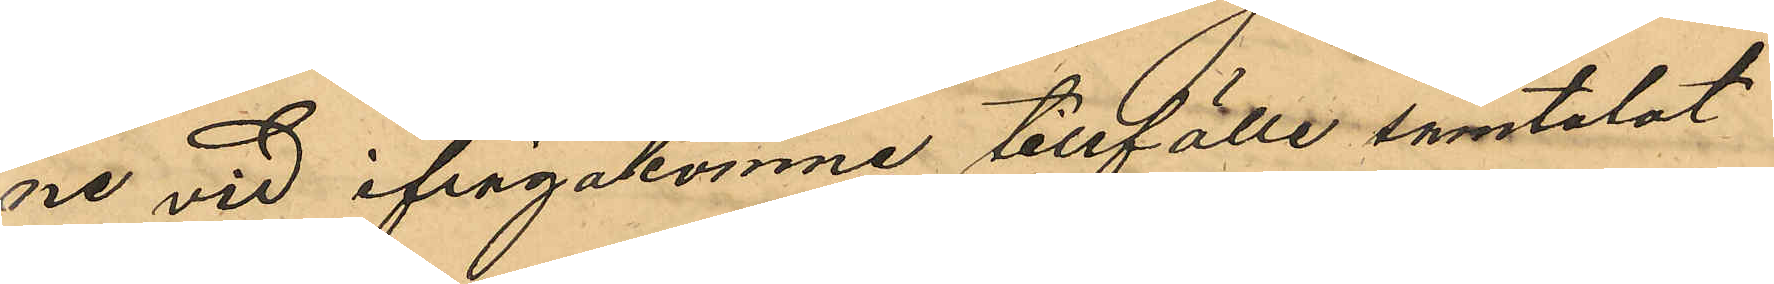ne vid ifrågakomne tillfälle samtalat
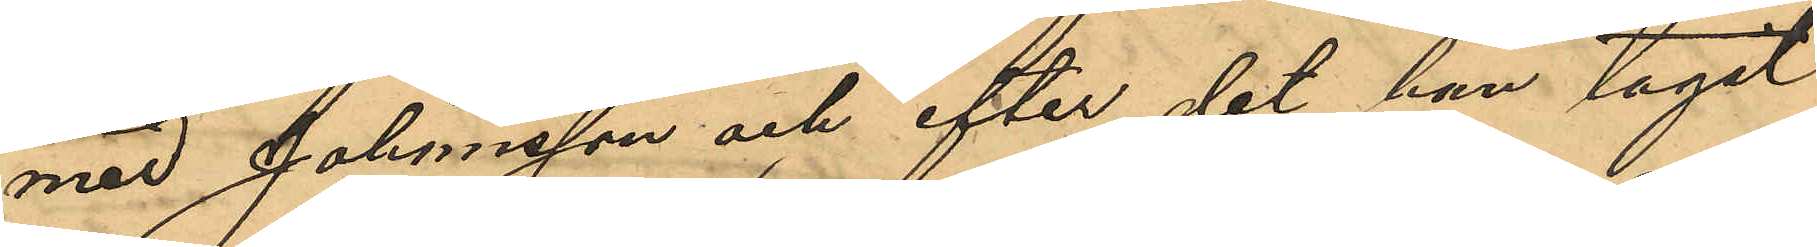med Johansson och efter det han tagit
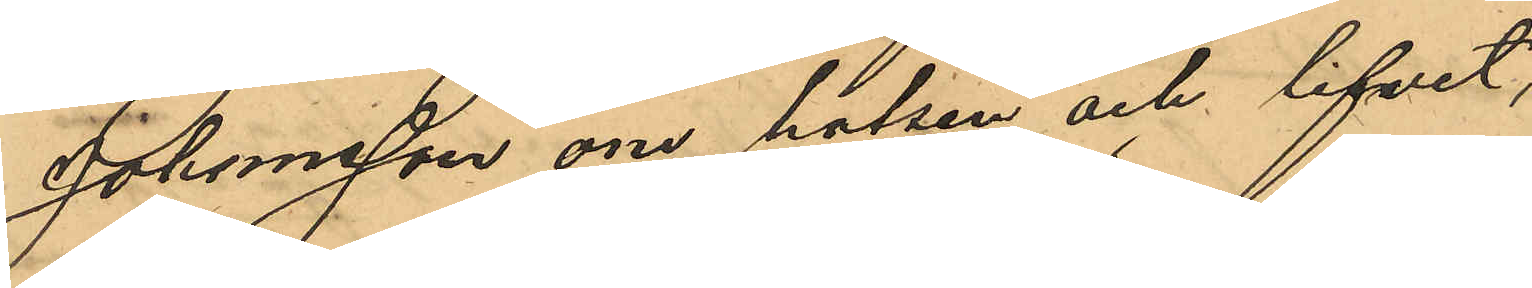Johansson om halsen och lifvet,
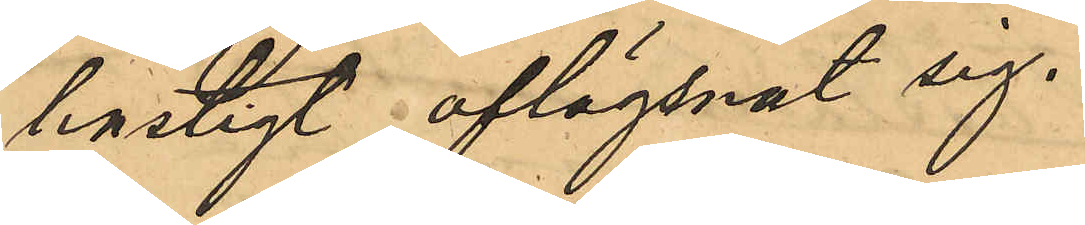hastigt aflägsnat sig.
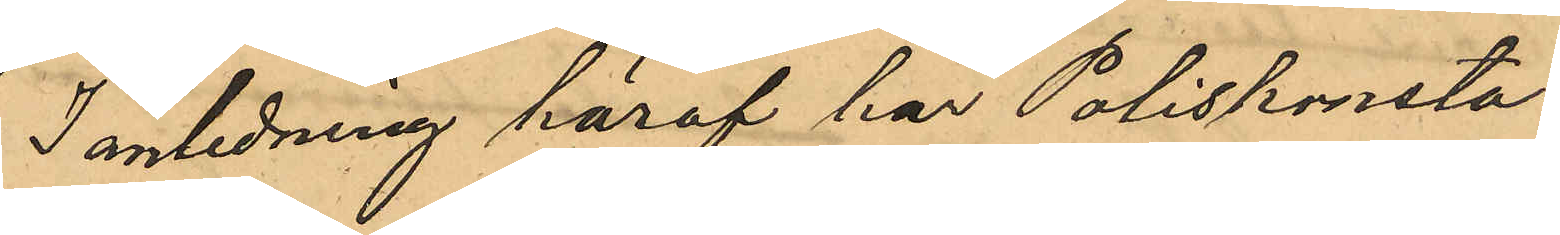I anledning häraf har Poliskonsta¬
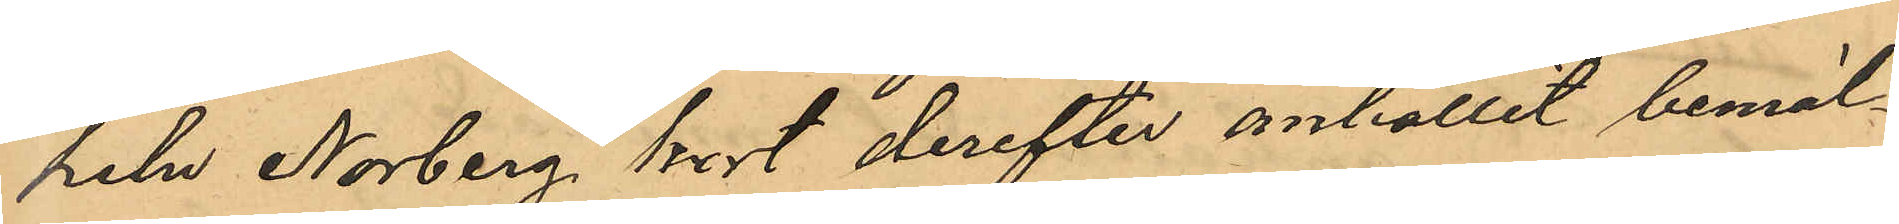peln Norberg kort derefter anhållit bemäl¬
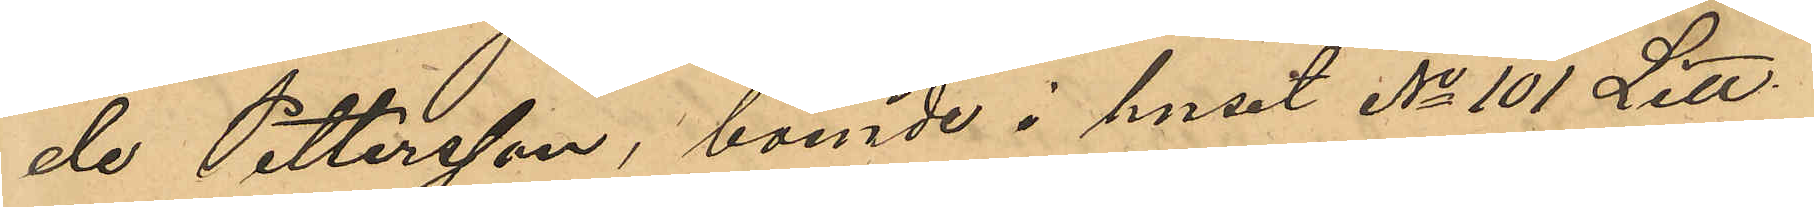de Pettersson, boende i huset No 101 Litt.
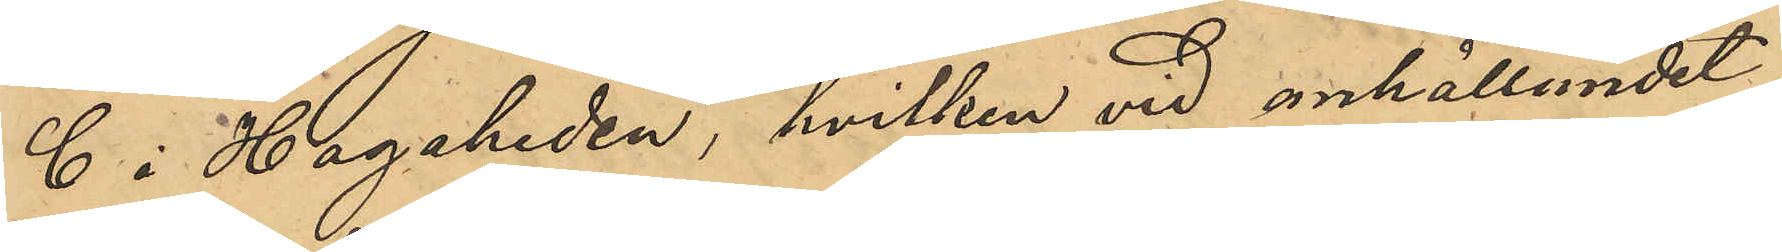C i Hagaheden, hvilken vid anhållandet
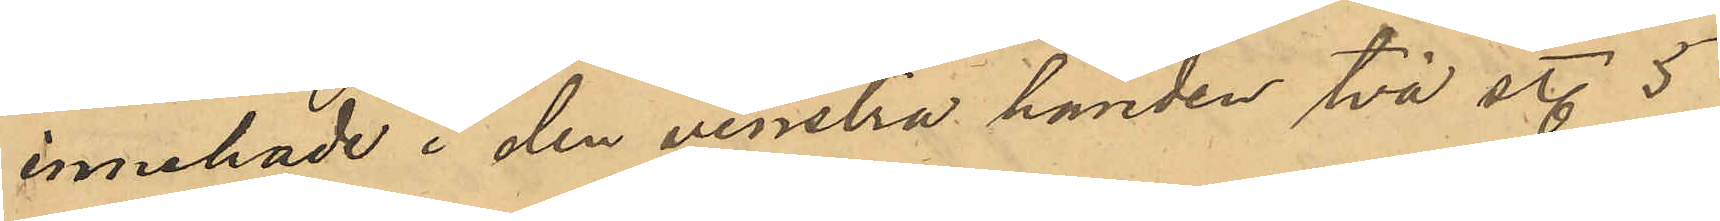innehade i den venstra handen två st. 5
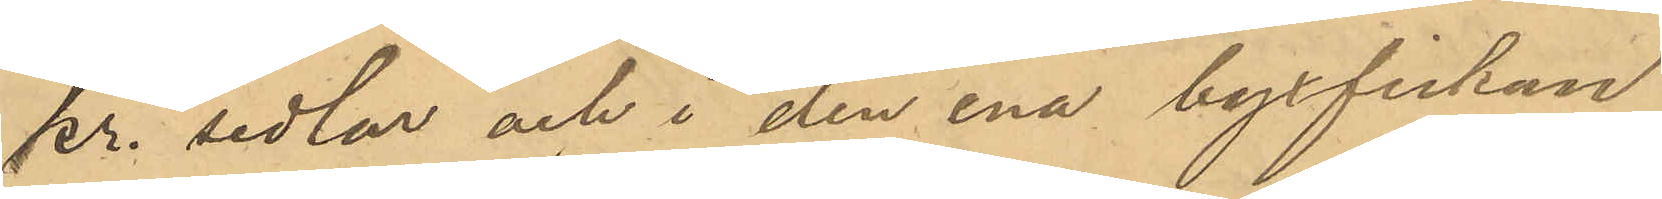kr. sedlar och i den ena byxfickan
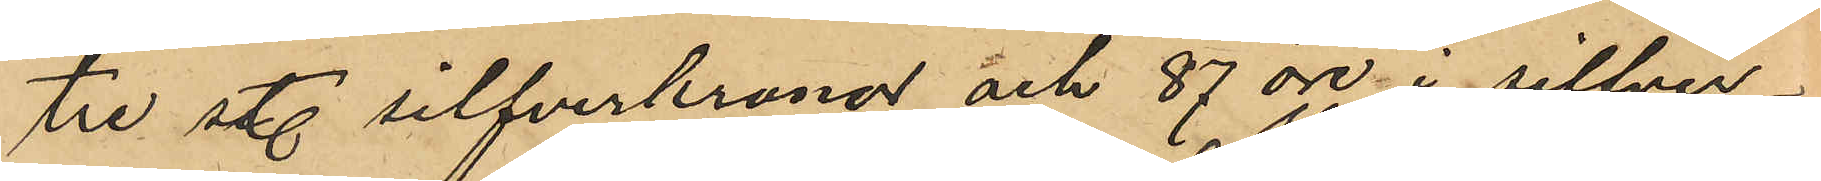tre st. silfverkronor och 87 öre i silfver¬
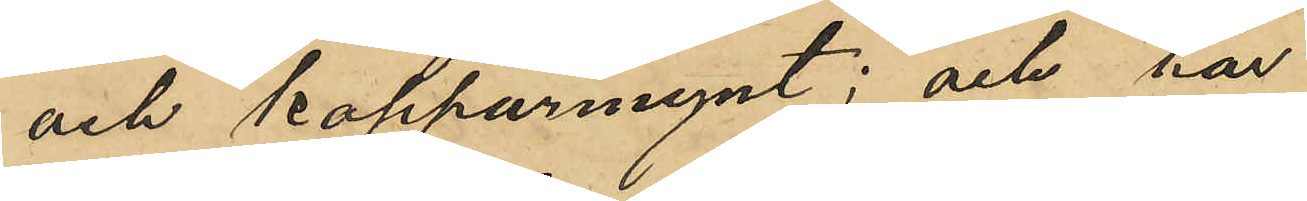och kopparmynt; och har
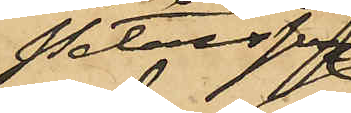Petersson
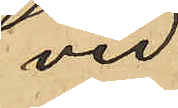vid
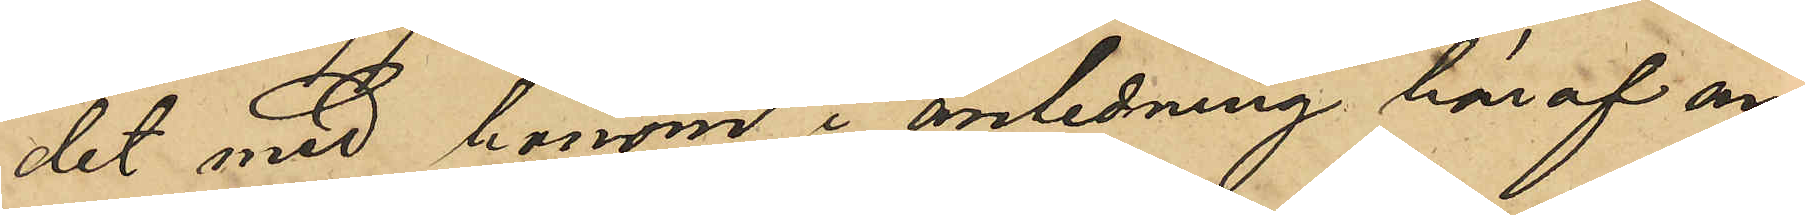det med honom i anledning häraf an¬
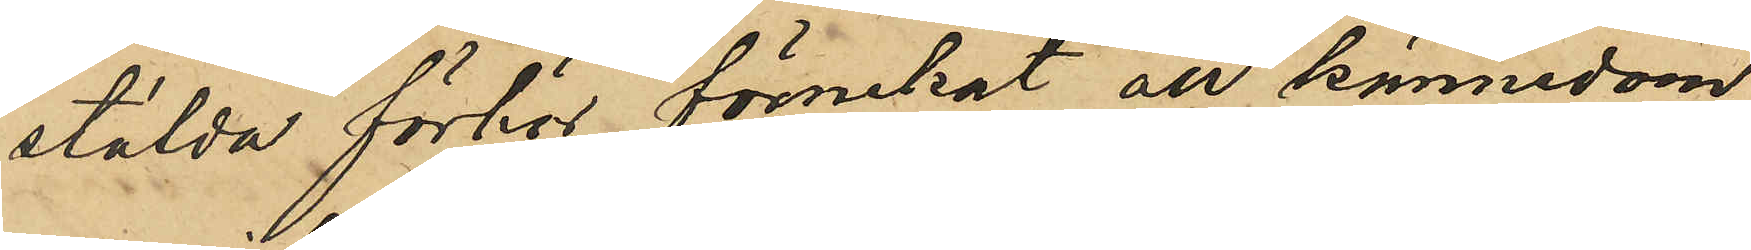stälda förhör förnekat all kännedom
